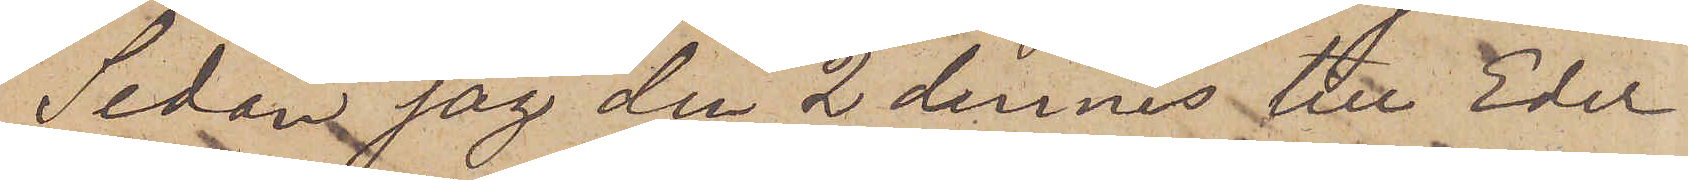Sedan jag den 2 dennes till Eder
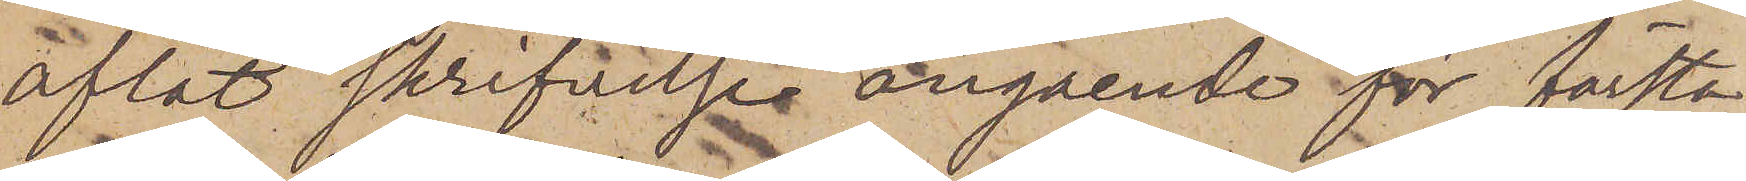aflät skrifvelse angående för första
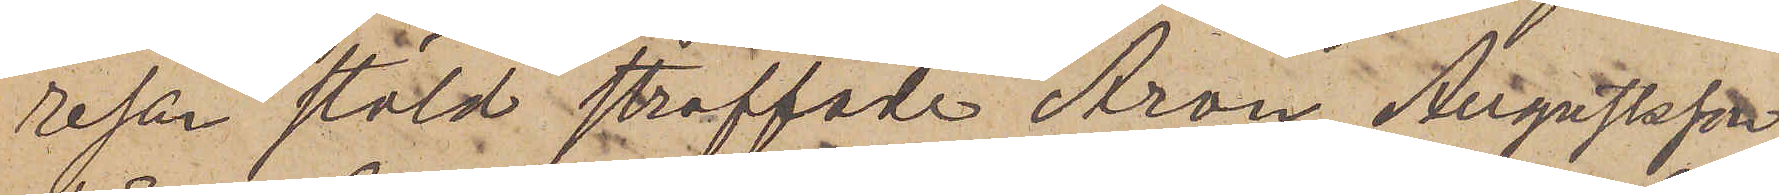resan stöld straffade Aron Augustsson
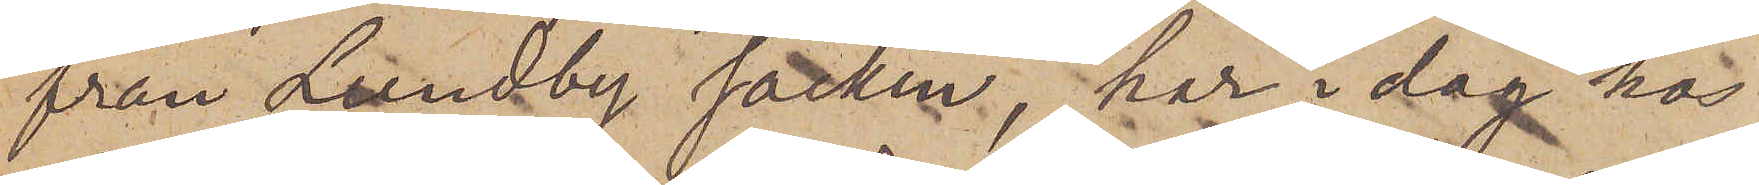från Lundby socken, har i dag hos
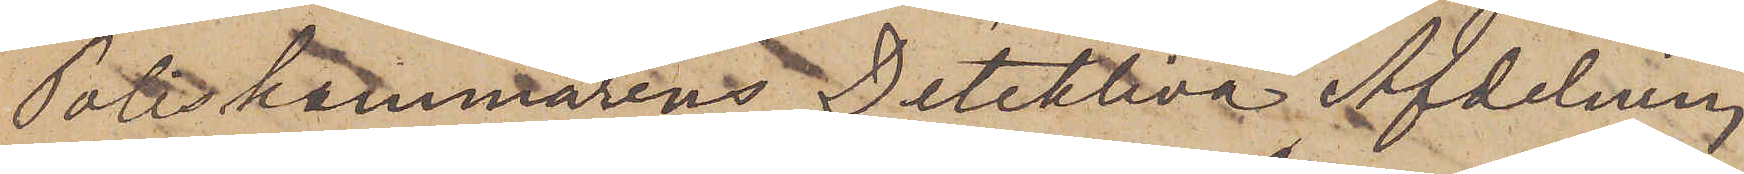Poliskammarens Detektiva Afdelning
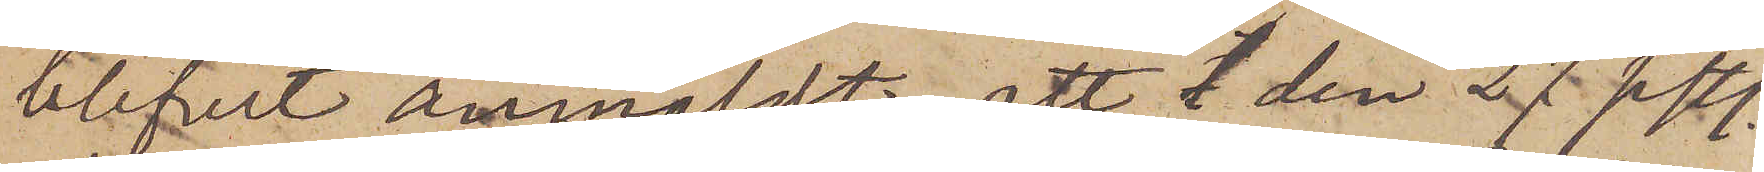blifvit anmäldt, att den 27 sistl.
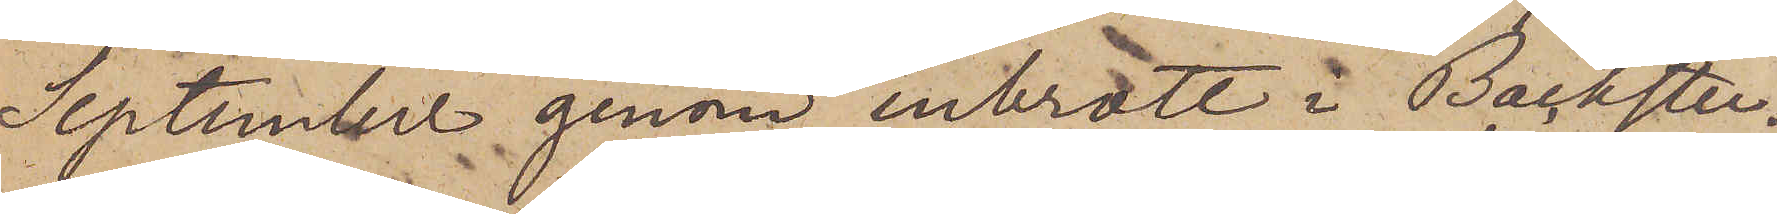September genom inbrott i Backstu¬
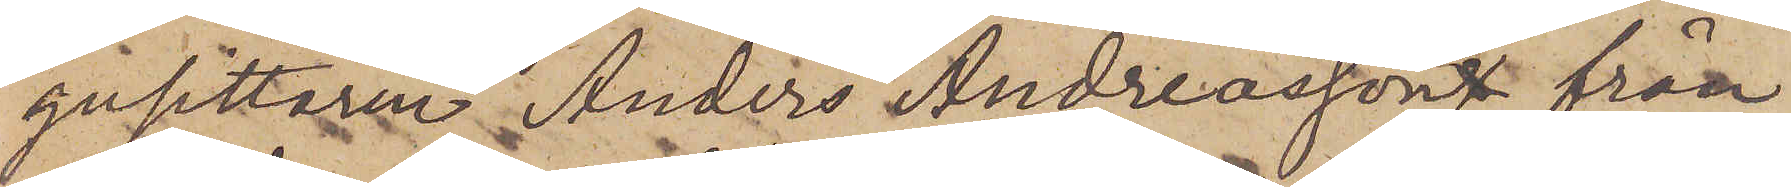gusittaren Anders Andreassons från
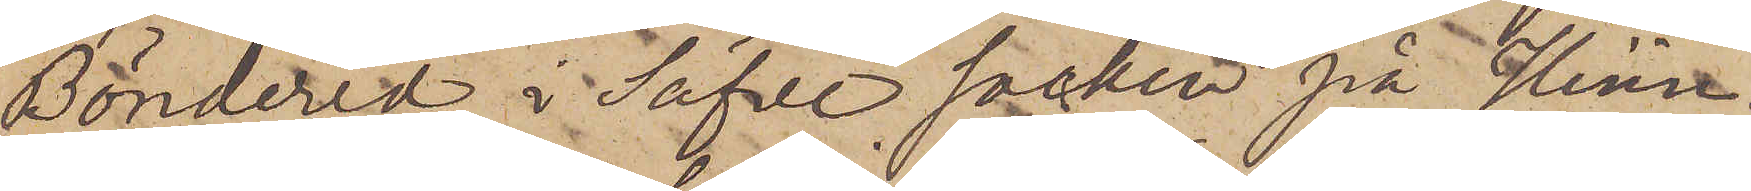Bönderad i Säfve socken på Hisin¬
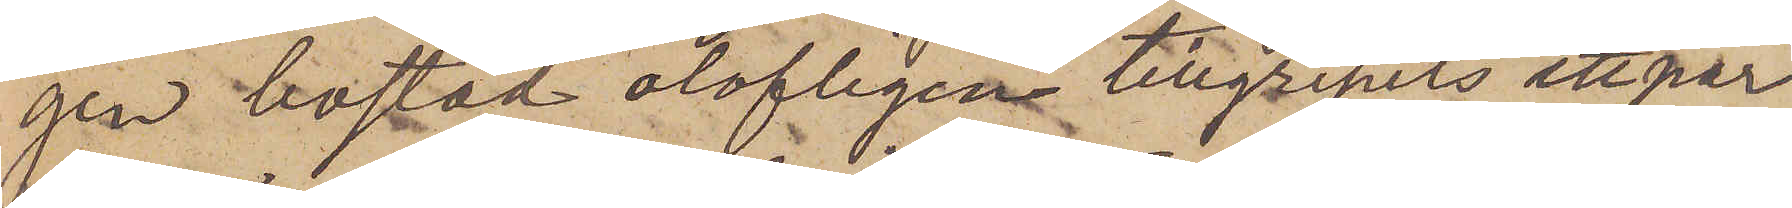gen bostad olofligen tillgripits ett par
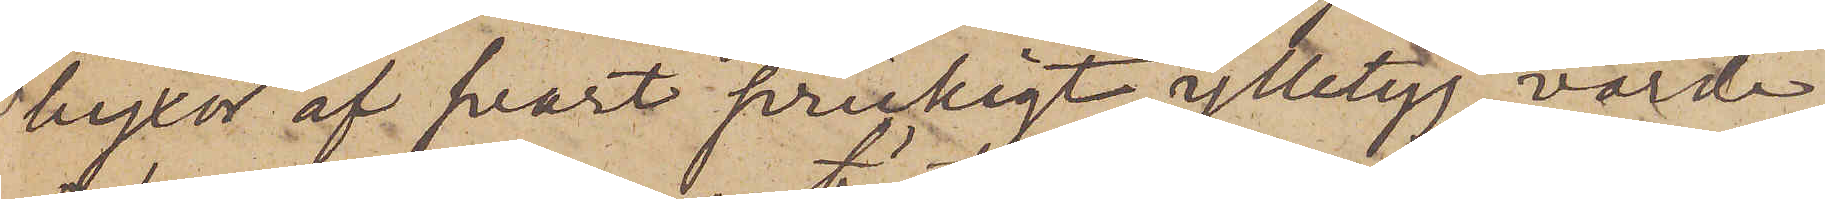byxor af svart prickigt ylletyg, värde
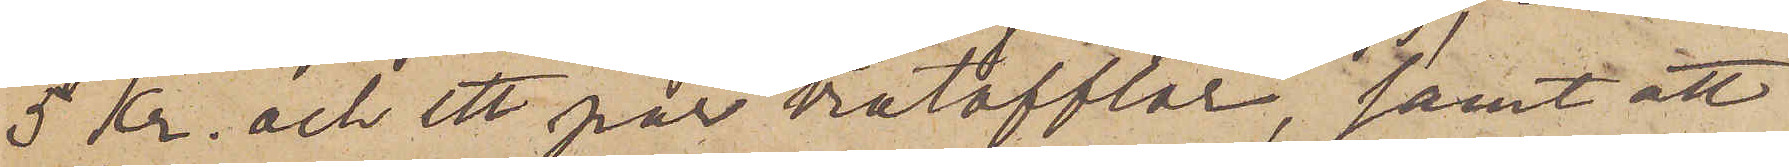5 Kr. och ett par trätofflor, samt att
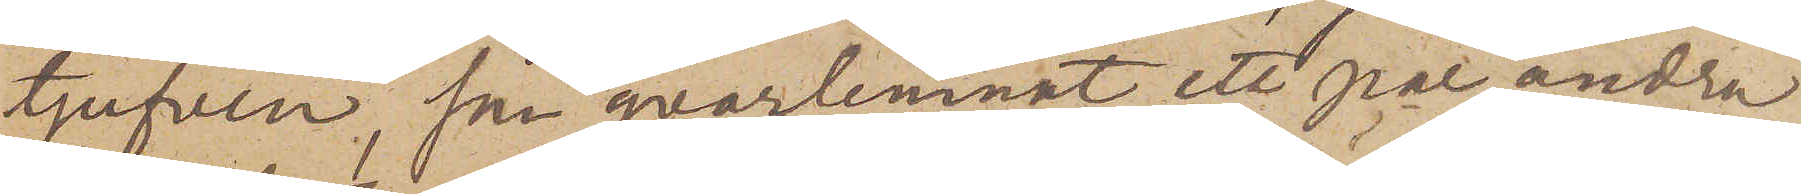tjufven, som qvarlemnat ett par andra
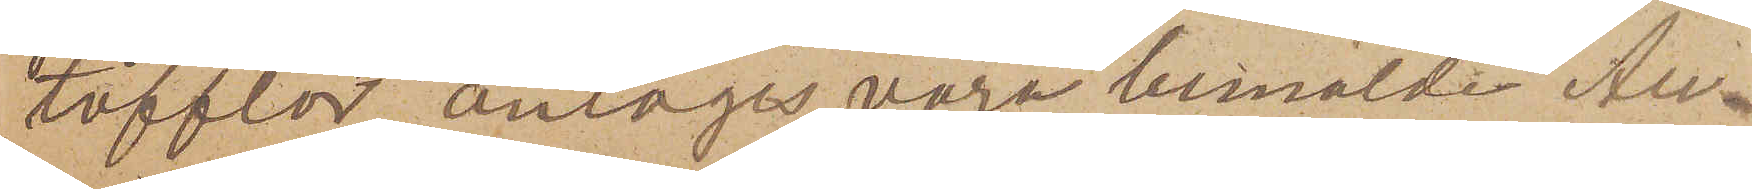tofflor, antages vara bemälde Au¬
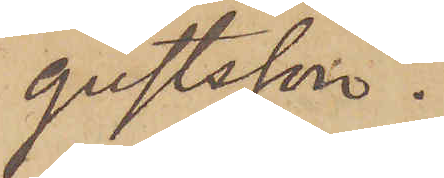gustsson.
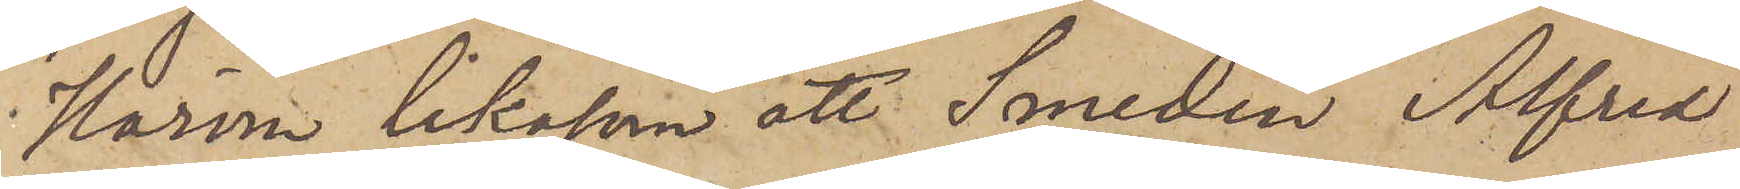Härom likasom att Smeden Alfred
